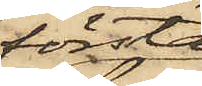första
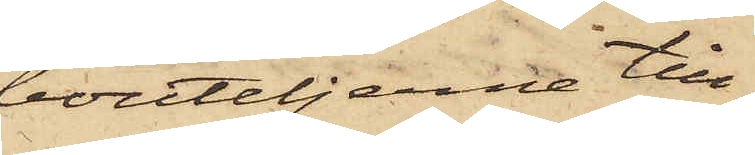bouteljerne till¬
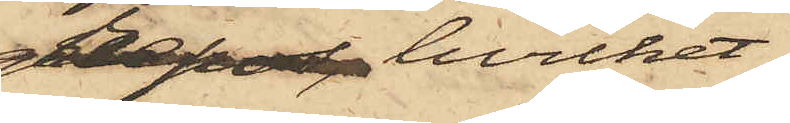grepos, hvilket
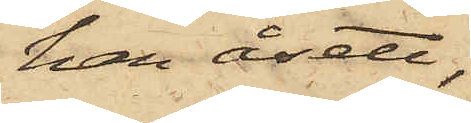han åsett,
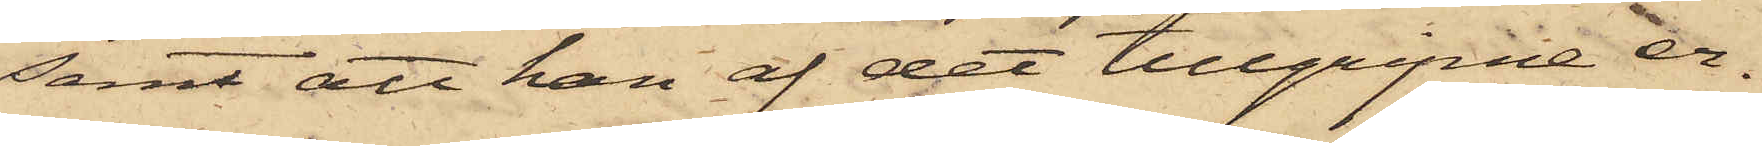samt att han af det tillgripne er¬
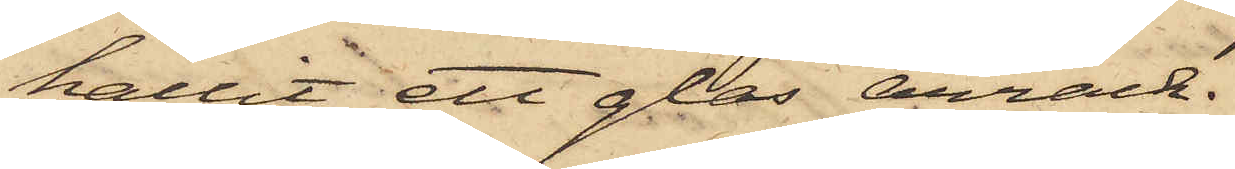hållit ett glas arrack.
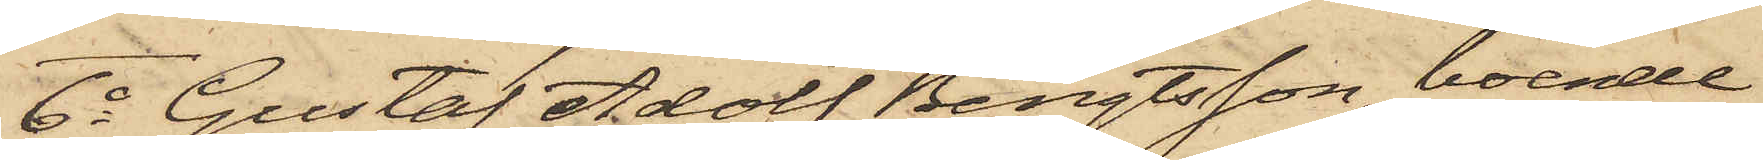6o Gustaf Adolf Bengtsson, boende
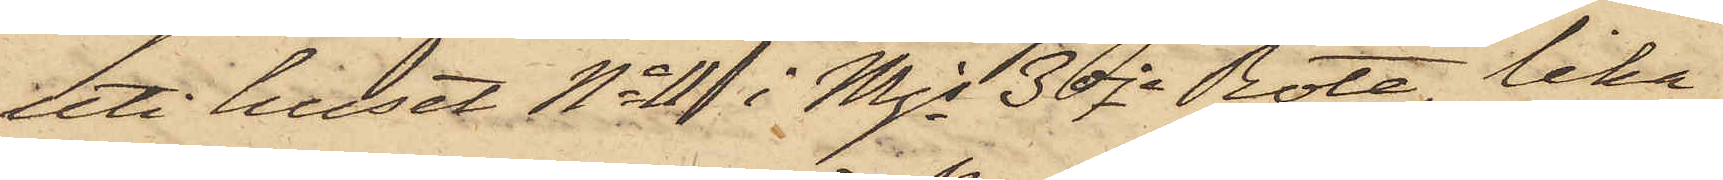uti huset No 11 i Mjs 3dje Rote, lika
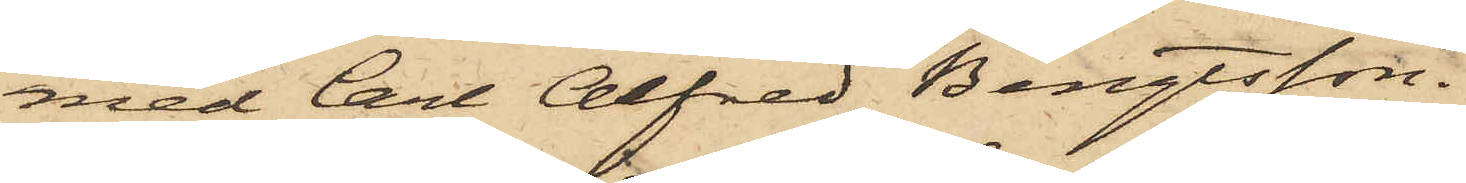med Carl Alfred Bengtsson.
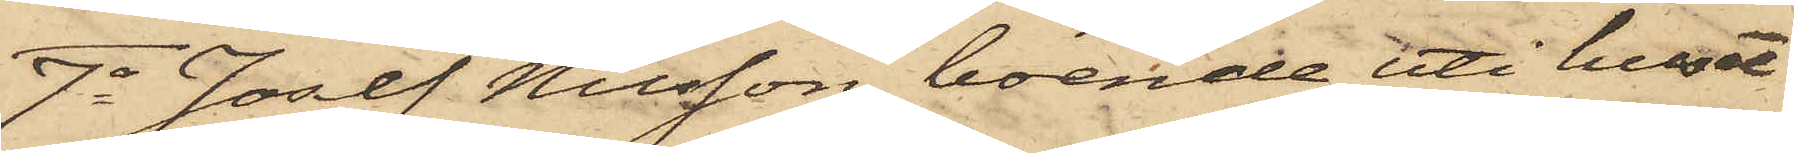7o Josef Nilsson, boende uti huset
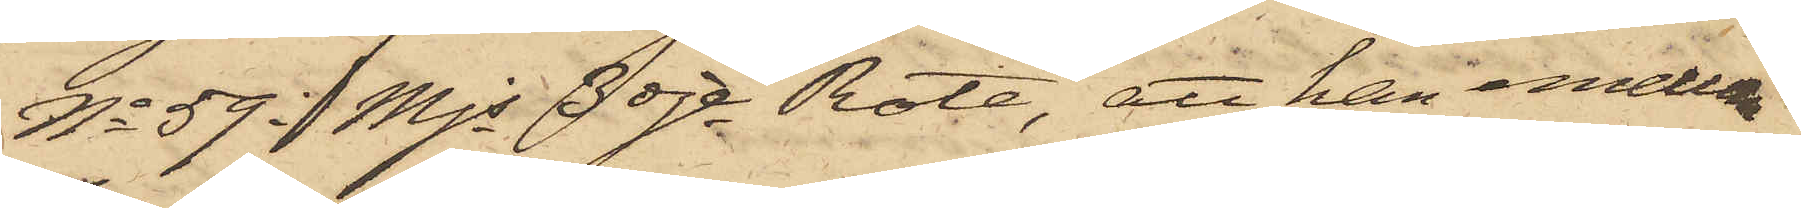No 59 i Mjs 3dje Rote, att han emellan
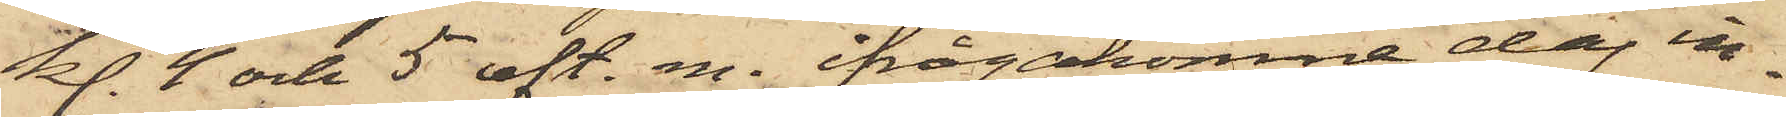kl. 4 och 5 eft. m. ifrågakomne dag in¬
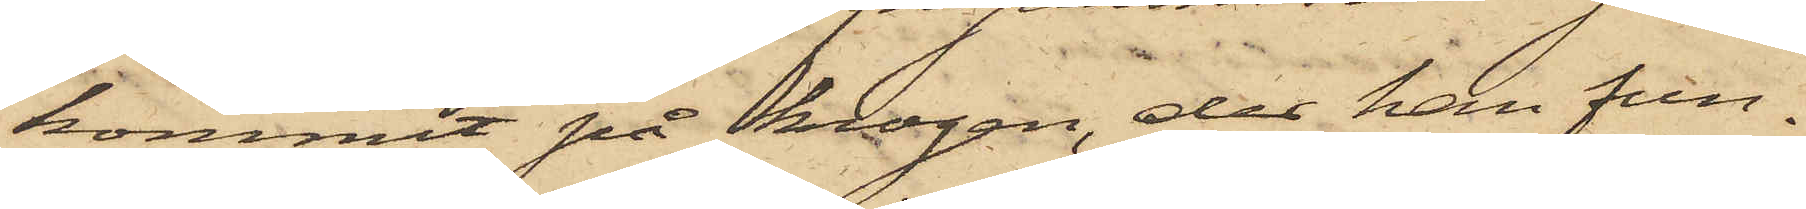kommit på krogen, der han fun¬
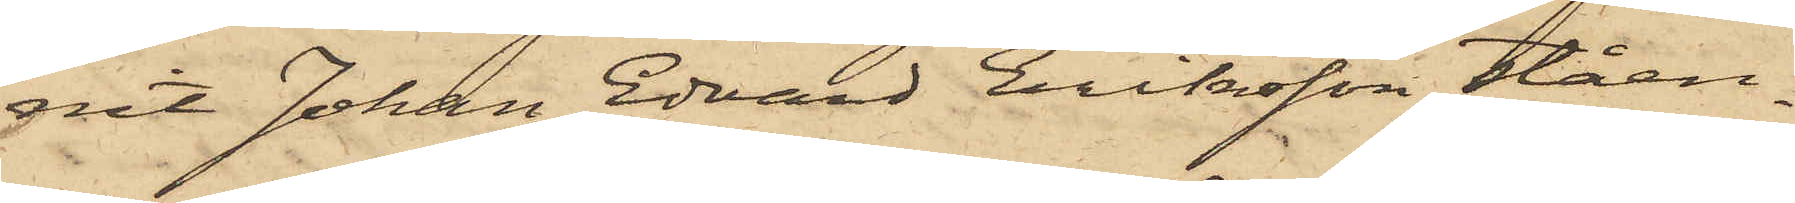nit Johan Edvard Eriksson ståen¬
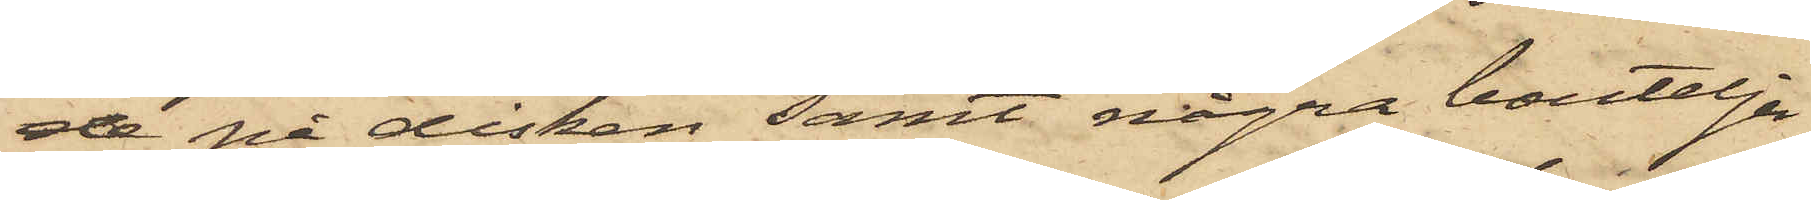de på disken samt några bouteljer
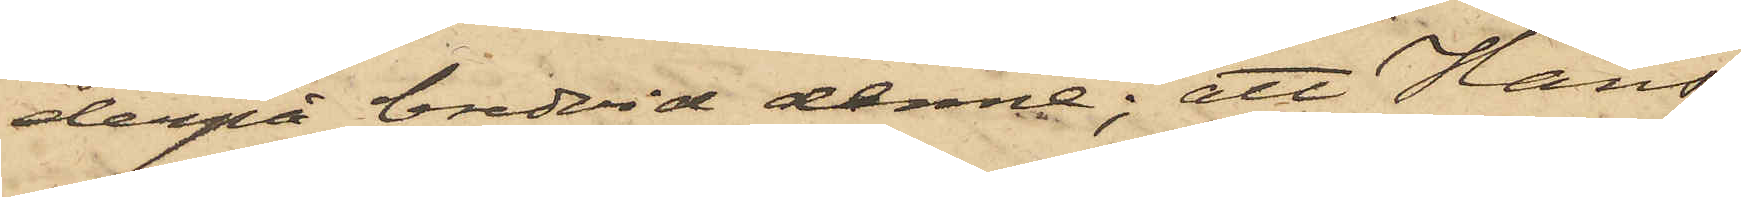derpå bredvid denne; att Hans¬
